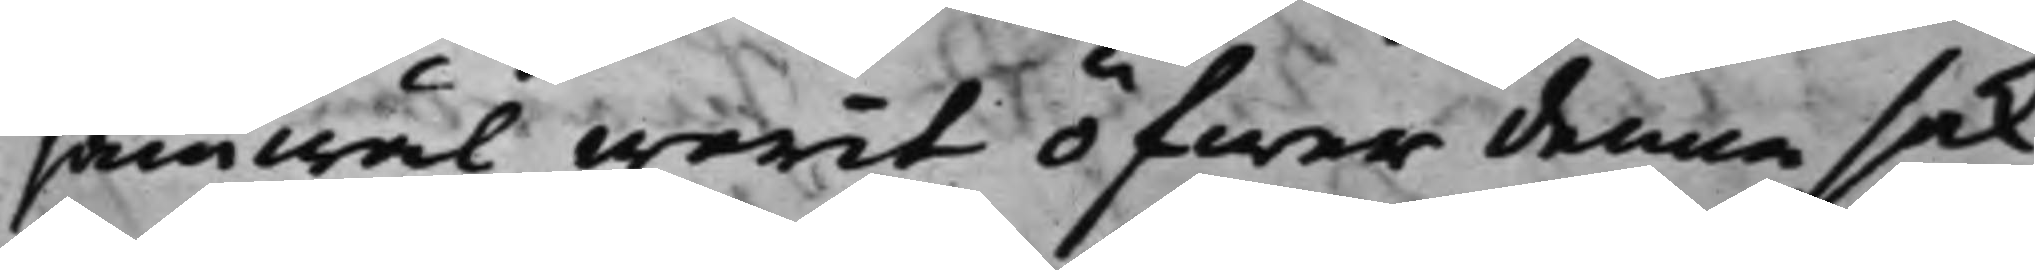jämwäl warit öfwer denna sak,
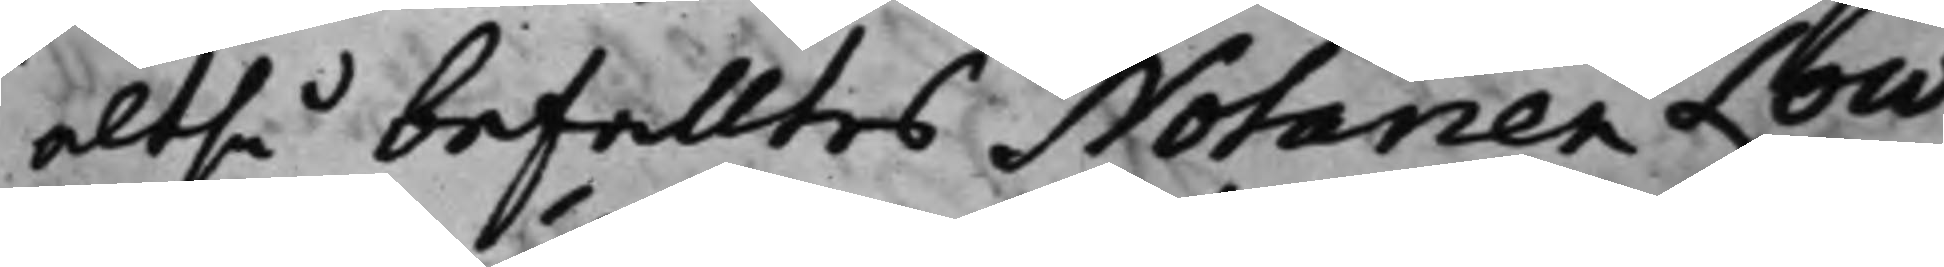altså befalltes Notarien Low
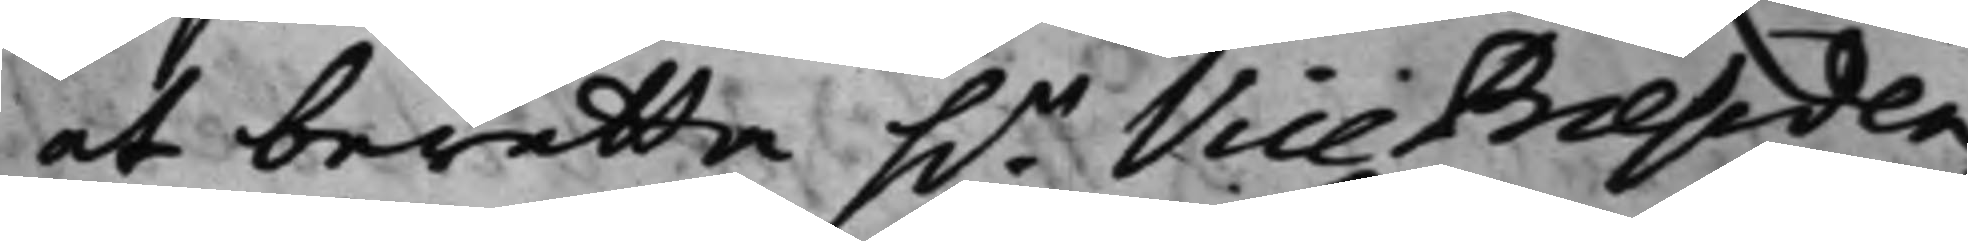at berätta h.r Vice Praesiden¬
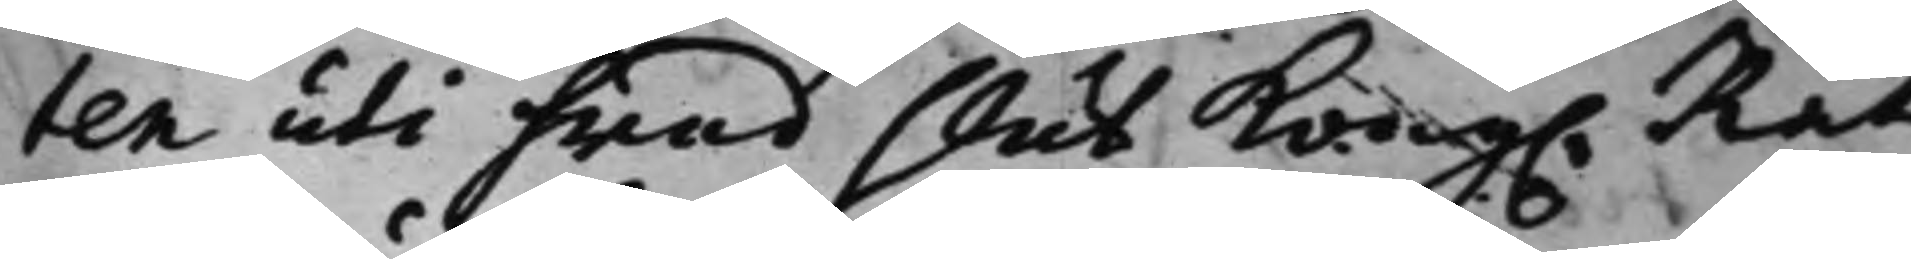ten uti hwad slut Kong. Rät¬
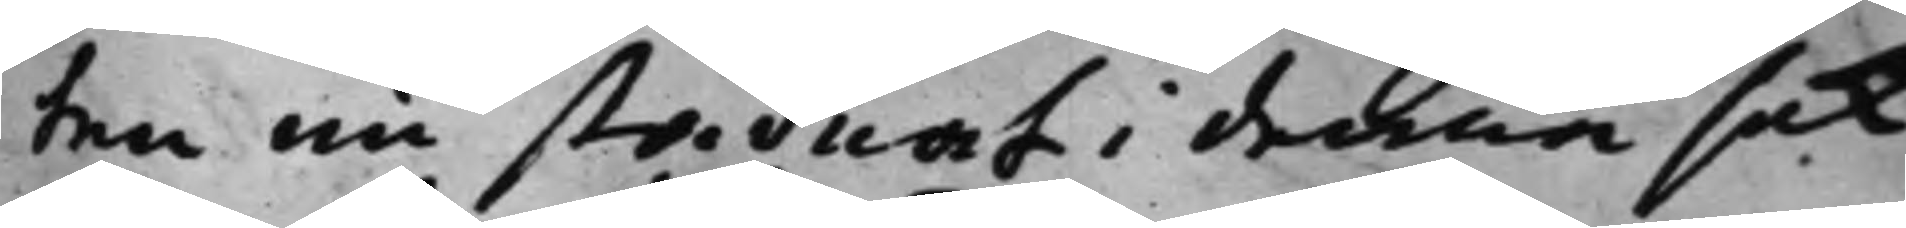ten nu stadnat i denna sak.
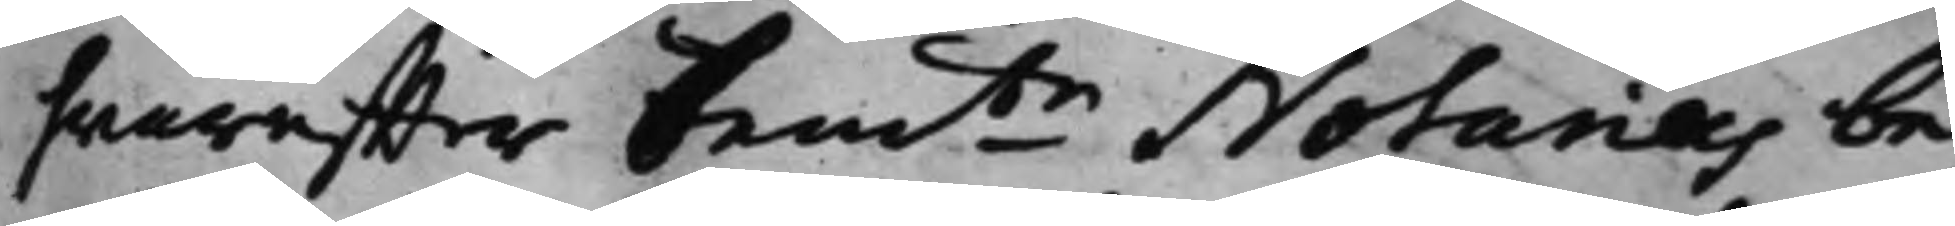hwareffter bemte Notarius be¬
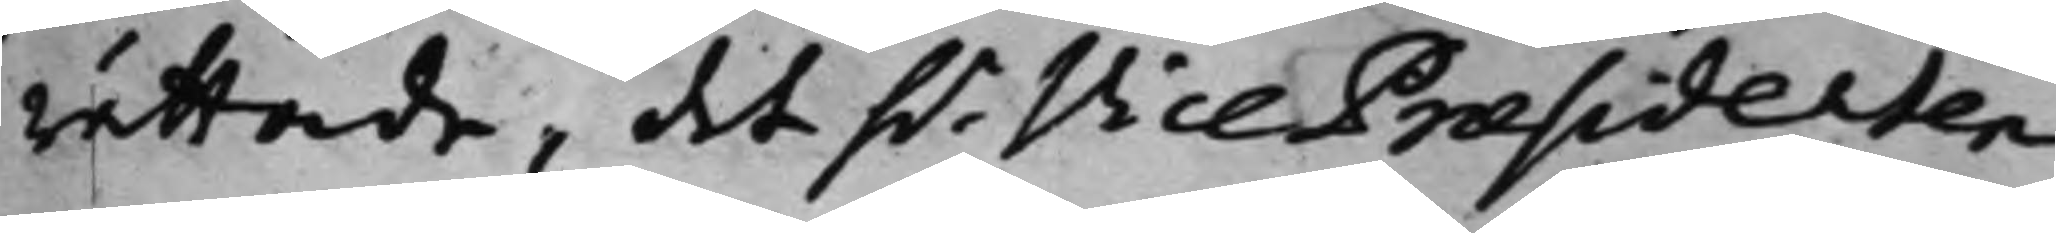rättade, det h.r Vice Praesidenten
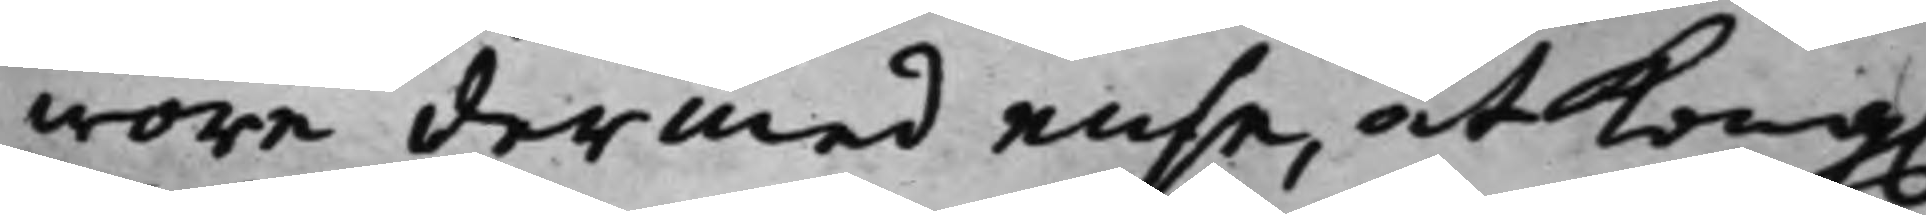wore dermed ense, at Kong.
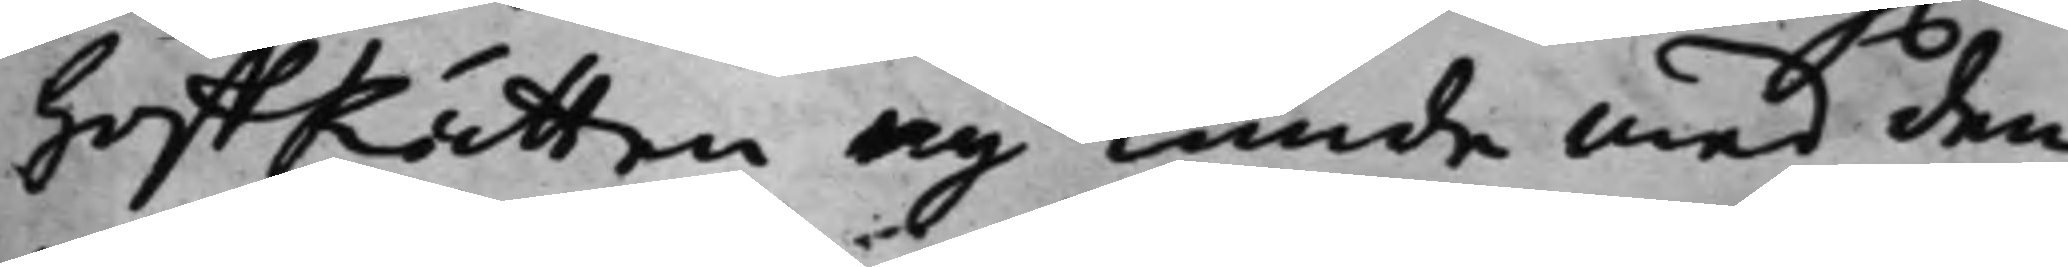HoffRätten ey kunde med den¬
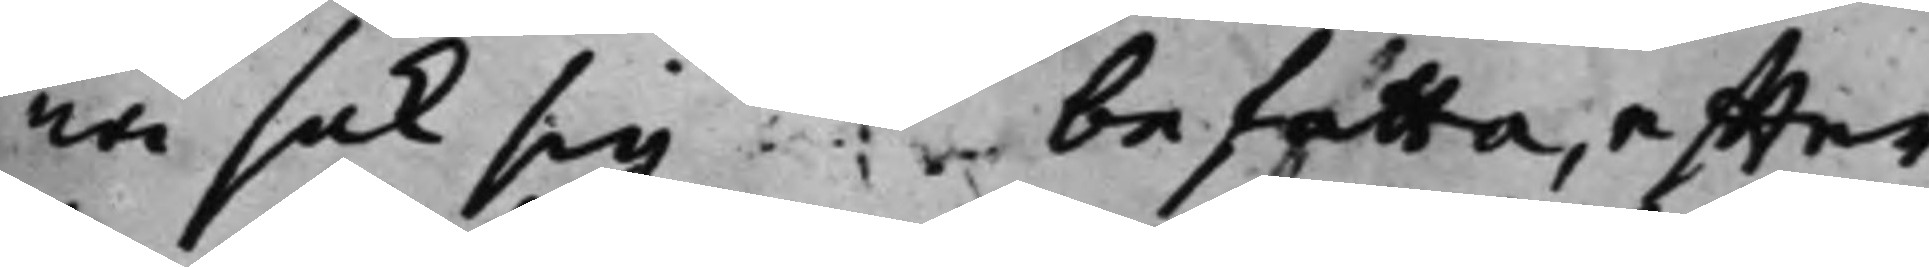na sak sig befatta, effter
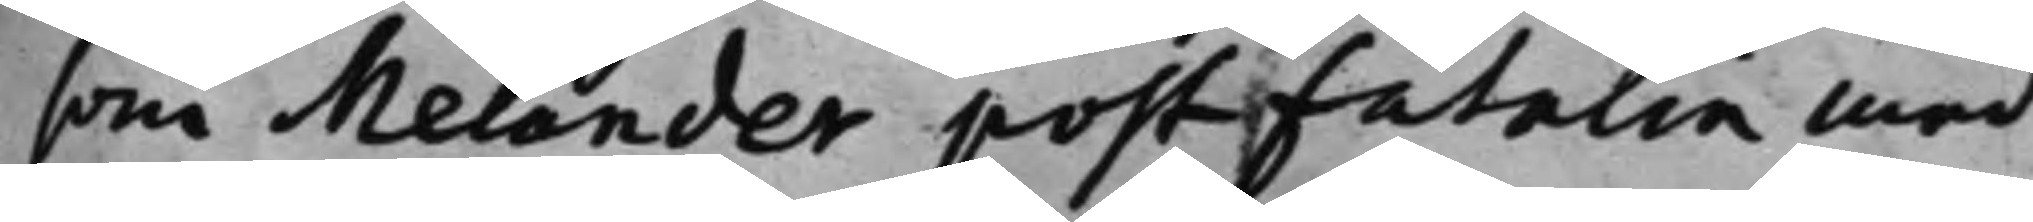som Melander post fatalia med
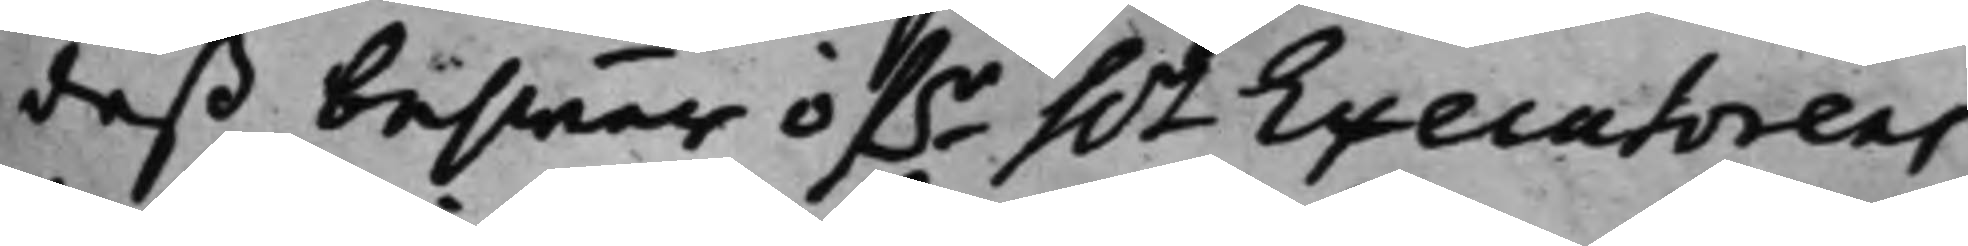deß beswär öf.r h.r Executorens
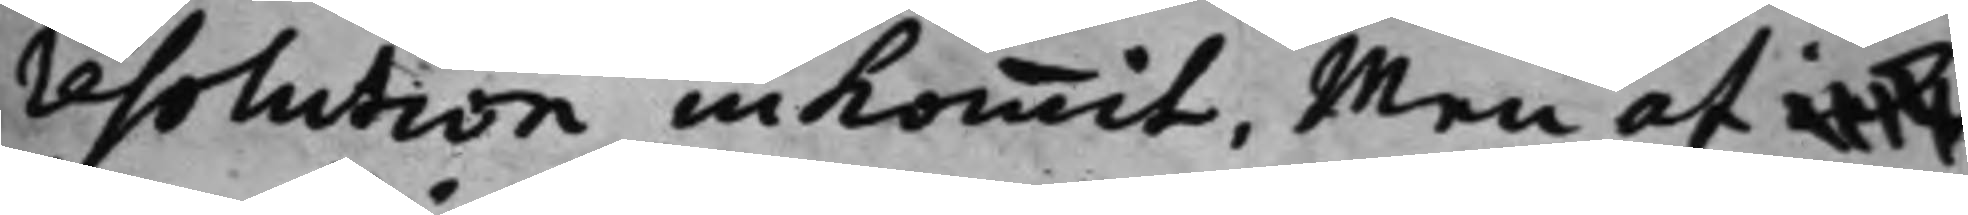resolution inkommit, Men at icke
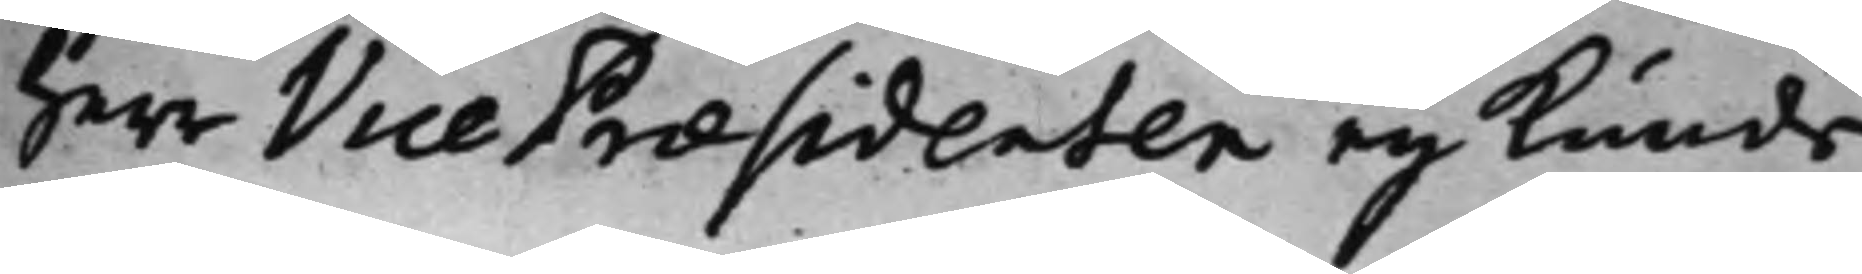Herr Vice Praesidenten ey kunde
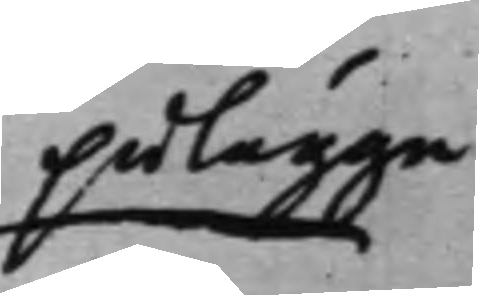pålägga
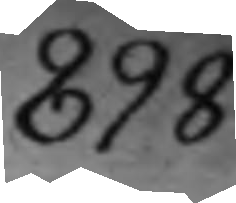898.
